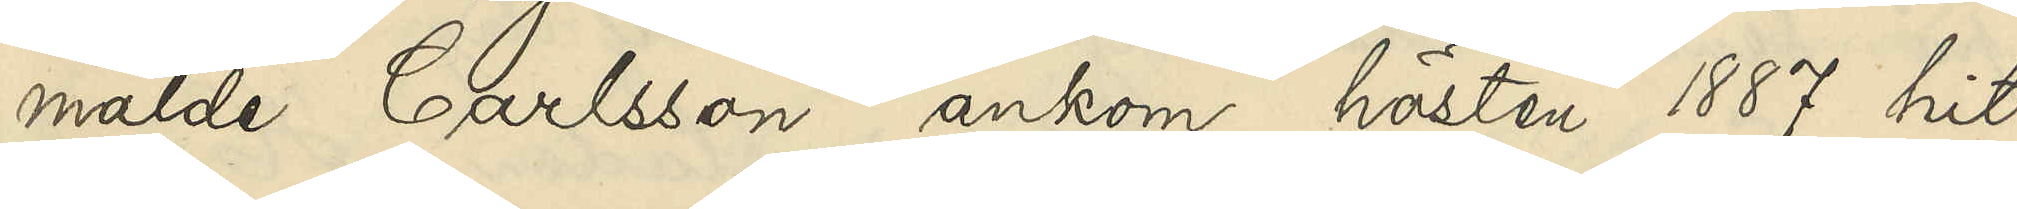mälde Carlsson ankom hösten 1887 hit 
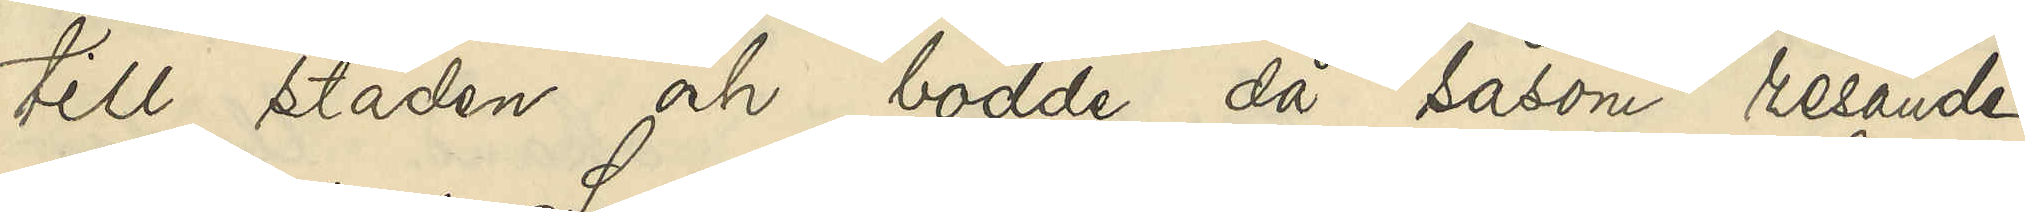till staden och bodde då såsom resande
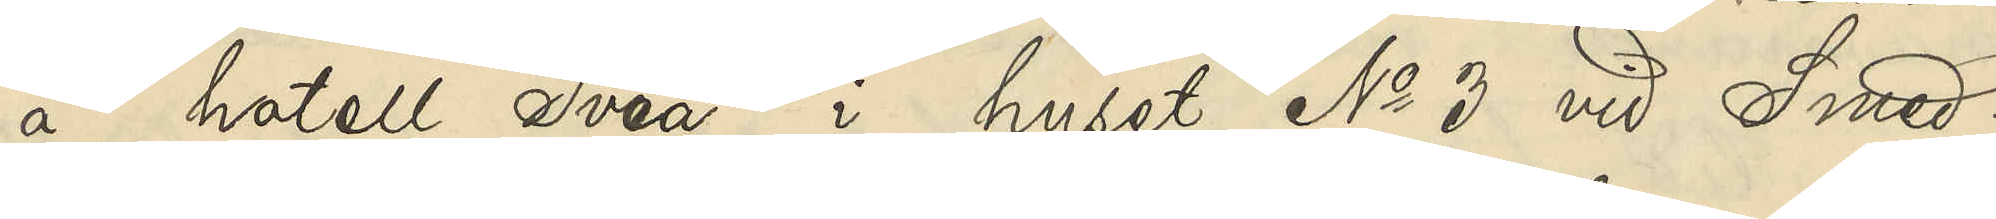å hotell Svea i huset No 3 vid Smed¬
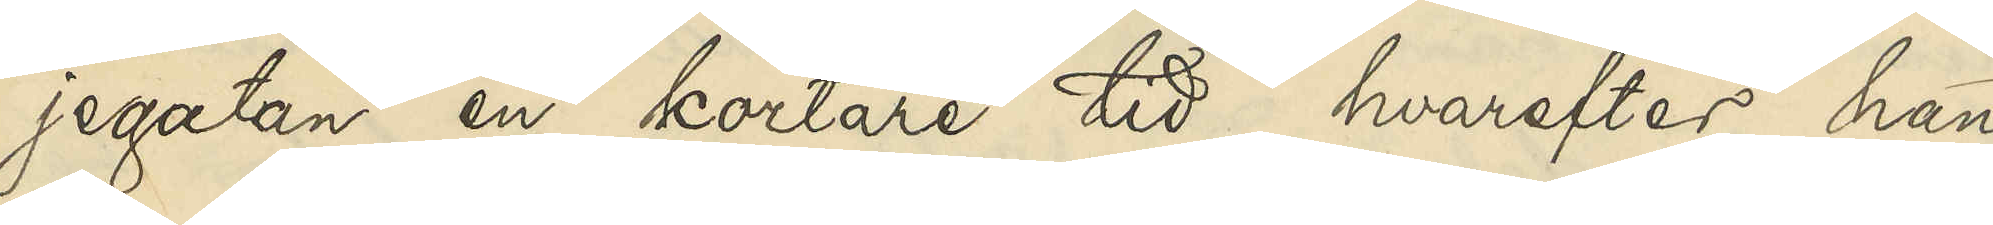jegatan en kortare tid, hvarefter han
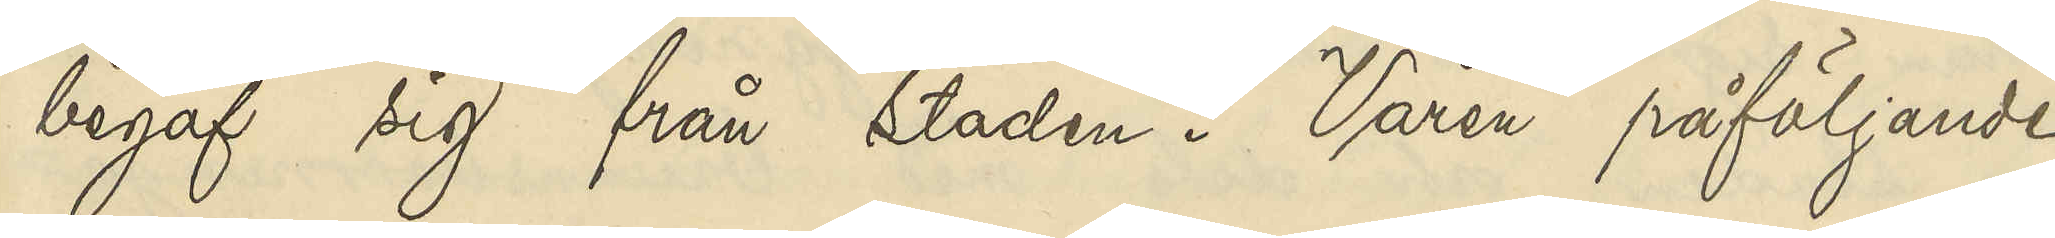begaf sig från staden. Våren påföljande
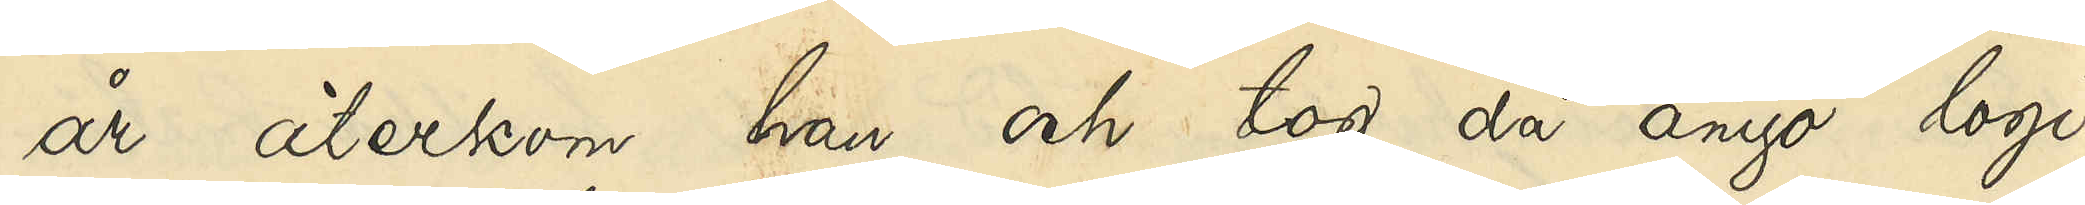år återkom han och tog ånyo logi
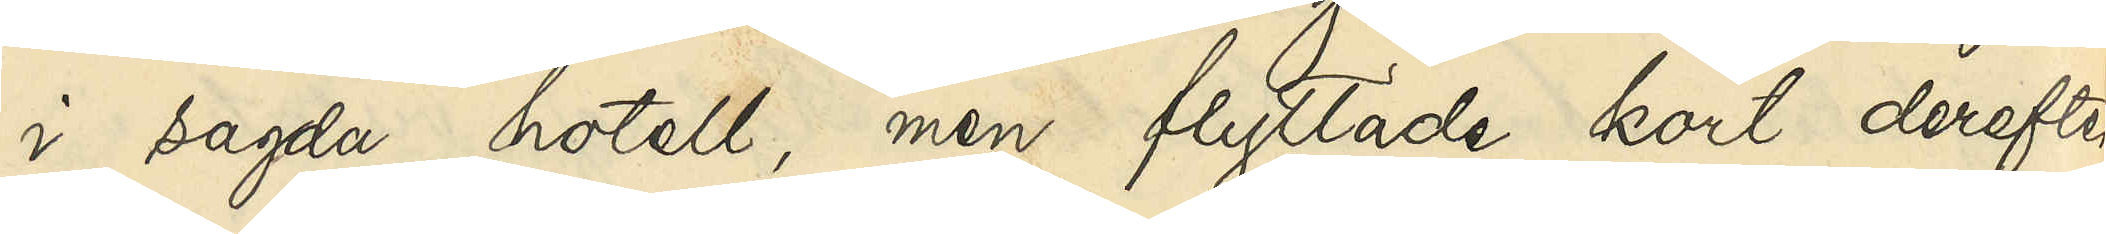i sagda hotell, men flyttade kort derefter
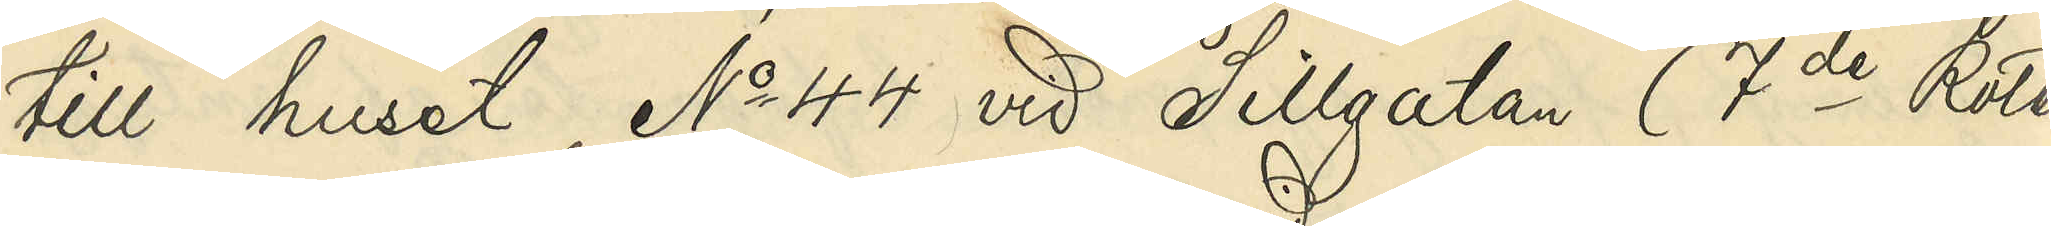till huset No 44 vid Sillgatan (7de Roten
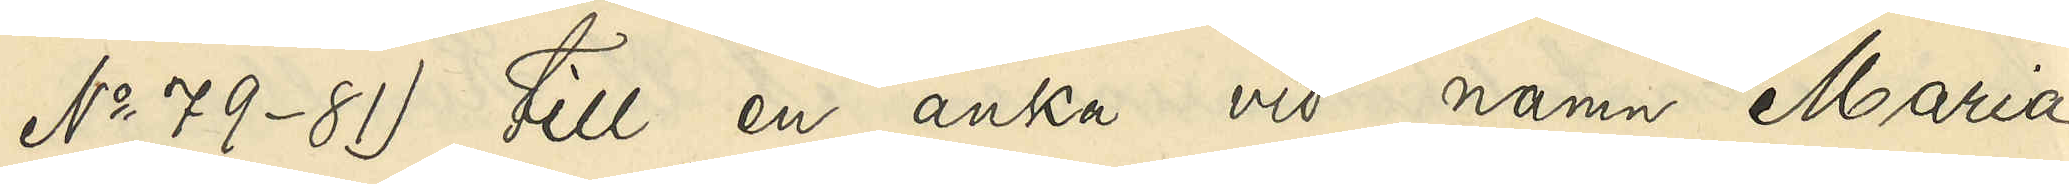No 79-81) till en änka vid namn Maria
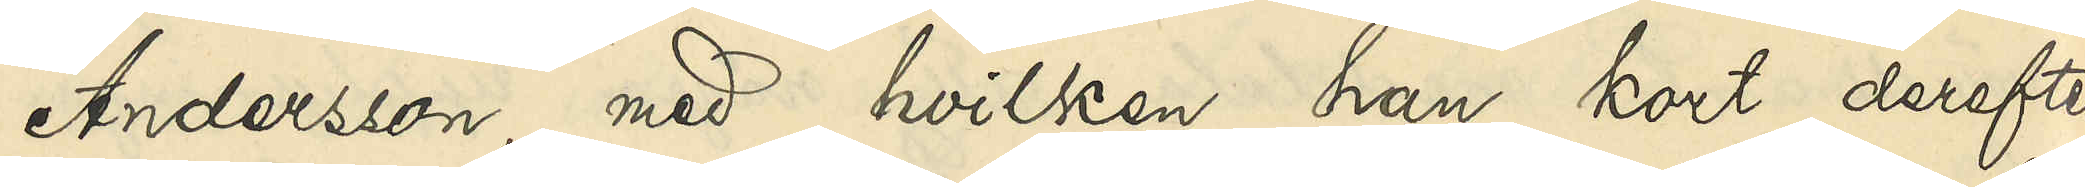Andersson, med hvilken han kort derefter
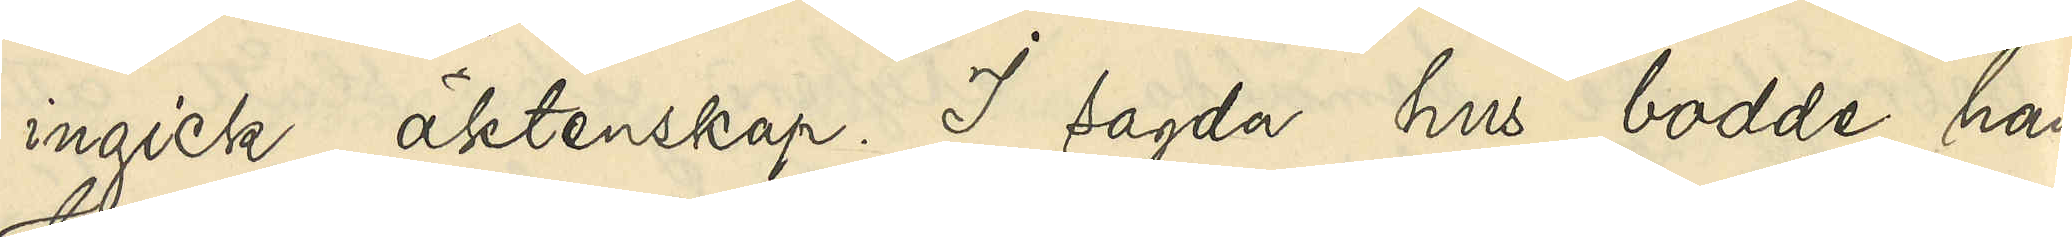ingick äktenskap. I sagda hus bodde han
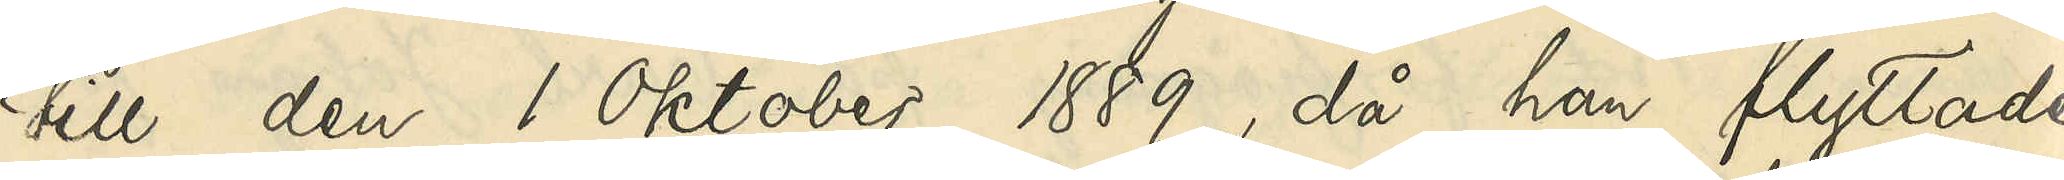till den 1 Oktober 1889, då han flyttade
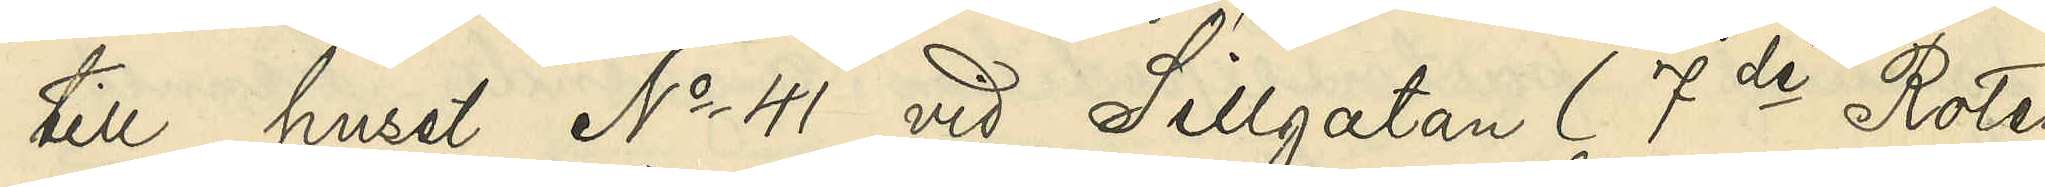till huset No 41 vid Sillgatan (7de Roten
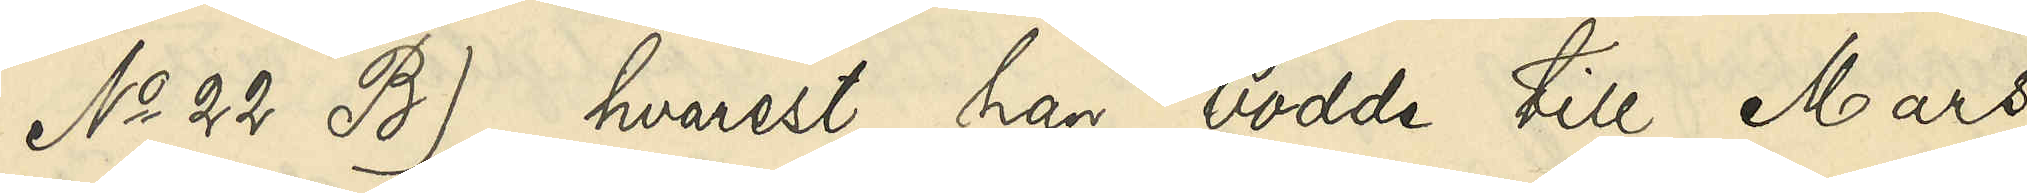No 22 B), hvarest han bodde till Mars
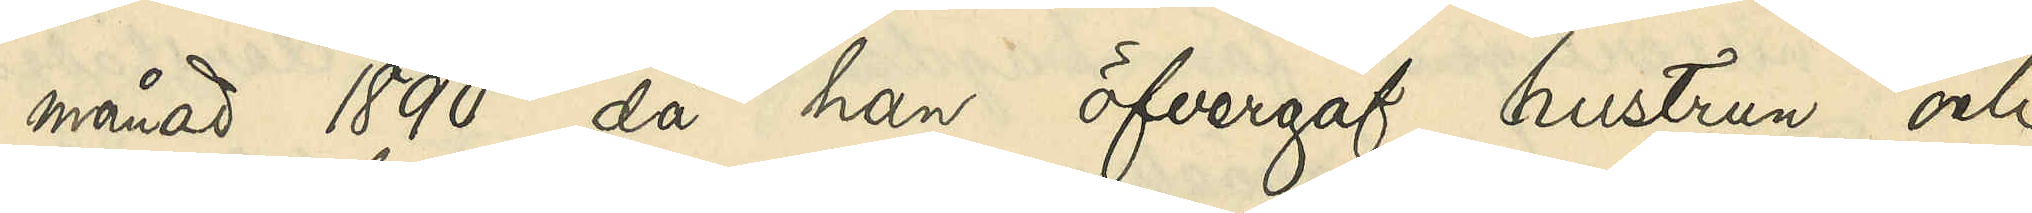månad 1890, då han öfvergav hustrun och
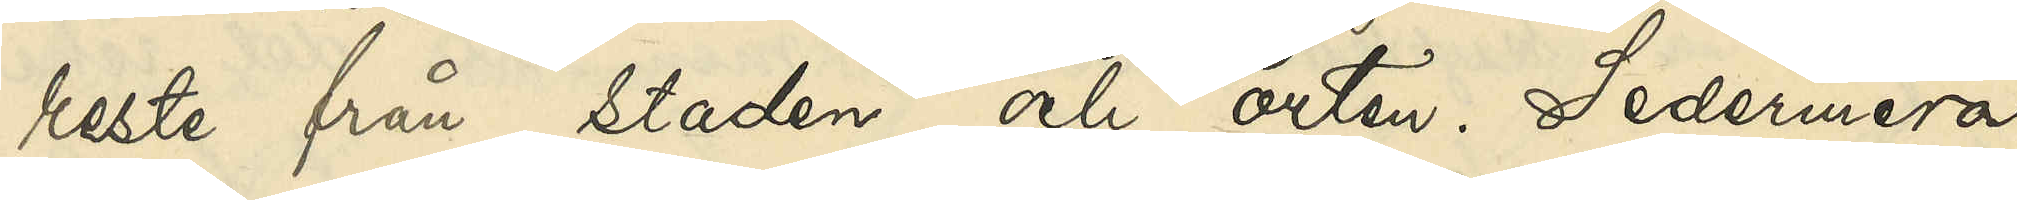reste från staden och orten. Sedermera
